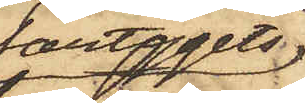fartygets
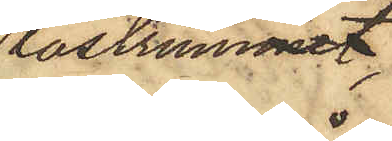lastrummet,
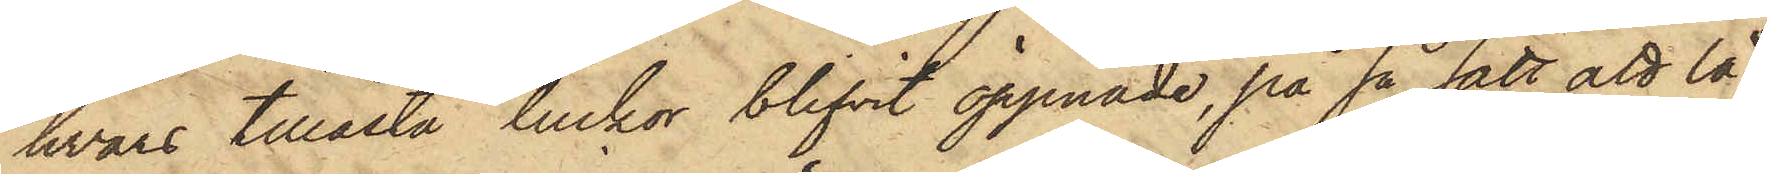hvars tillåsta luckor blifvit öppnade, på så sätt att lå¬
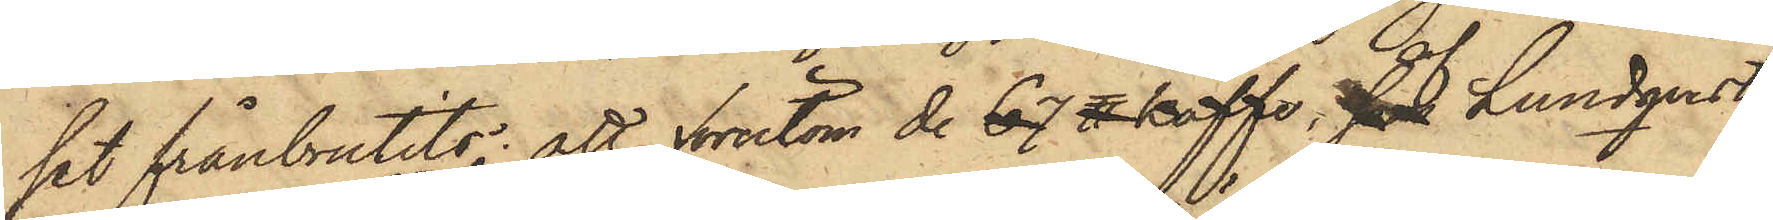set frånbrutits; att förutom de 67 ℔ kaffe, som af Lundqvist
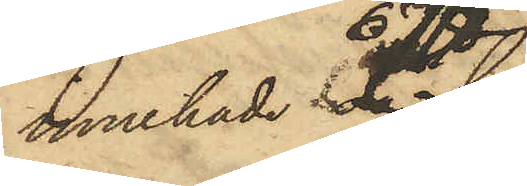innehade 67 ℔,
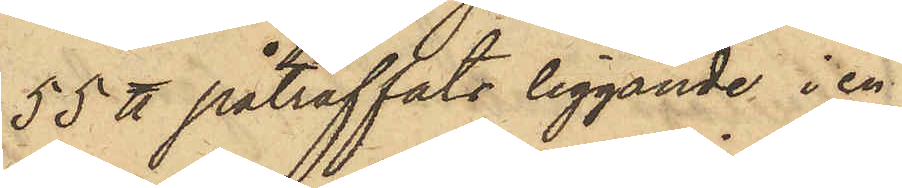55 ℔ påträffats liggande i en
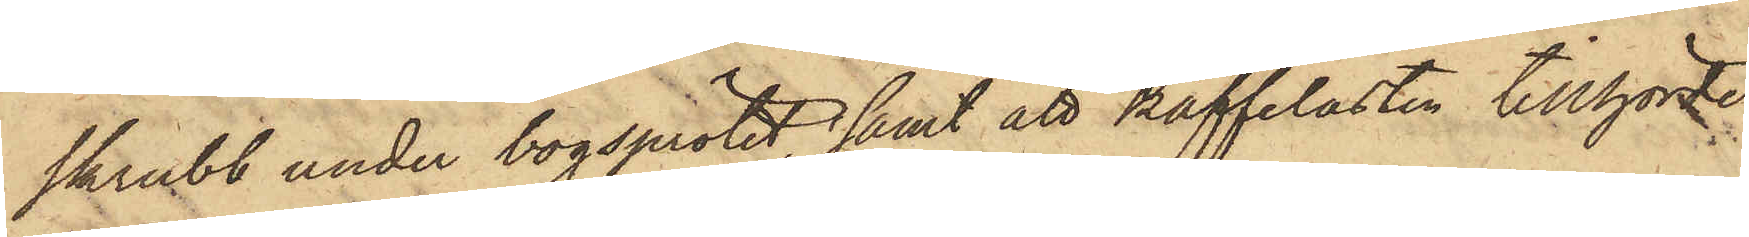skrubb under bogsprötet, samt att kaffelasten tillhörde
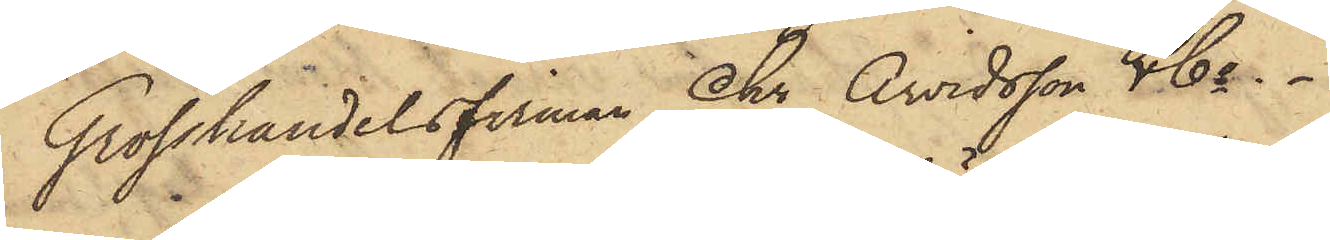Grosshandelsfirman Chr Arvidsson & Co.
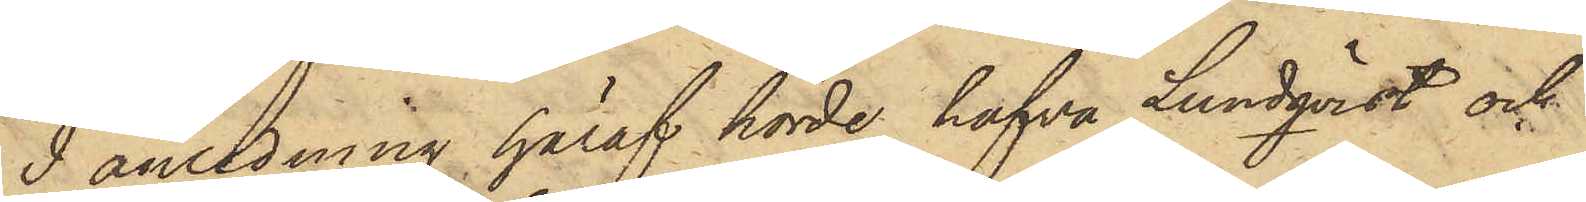I anledning häraf hörde hafva Lundqvist och
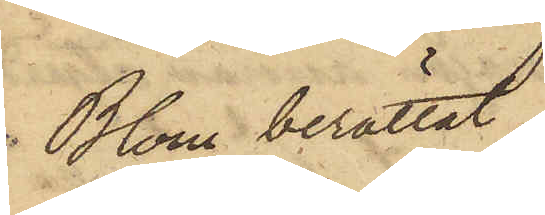Blom berättat,
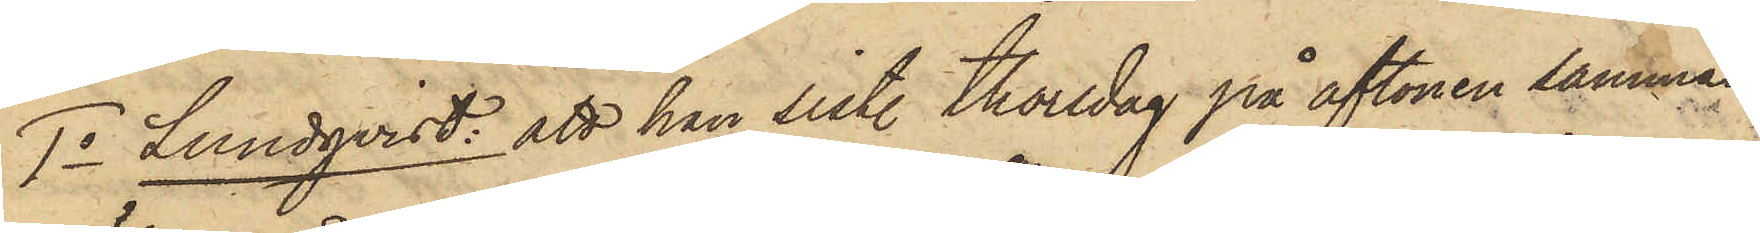1o Lundqvist: att han sist. Thorsdag på aftonen samman¬
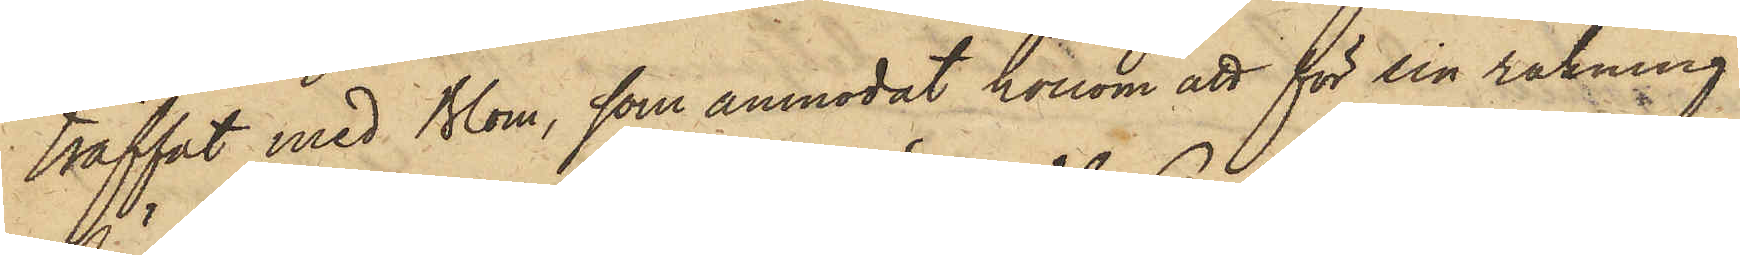träffat med Blom, som anmodat honom att för sin räkning
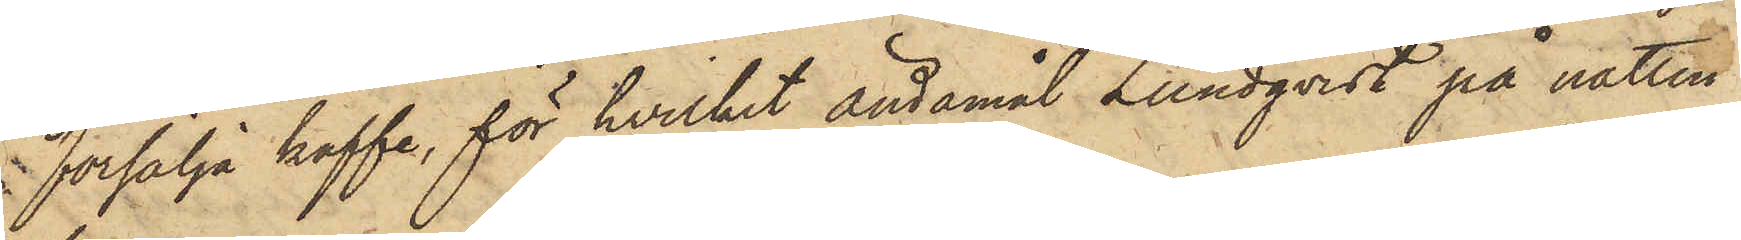försälja kaffe, för hvilket ändamål Lundqvist på natten
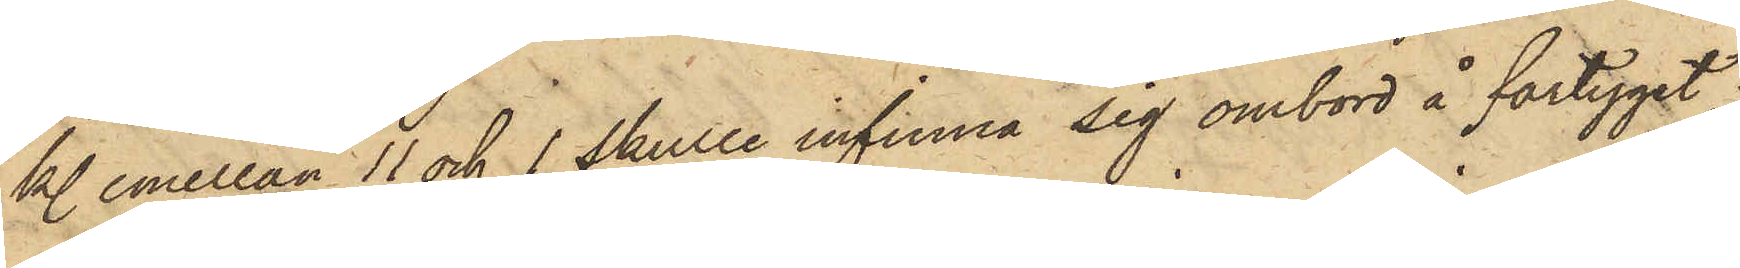kl. emellan 11 och 1 skulle infinna sig ombord å fartyget;
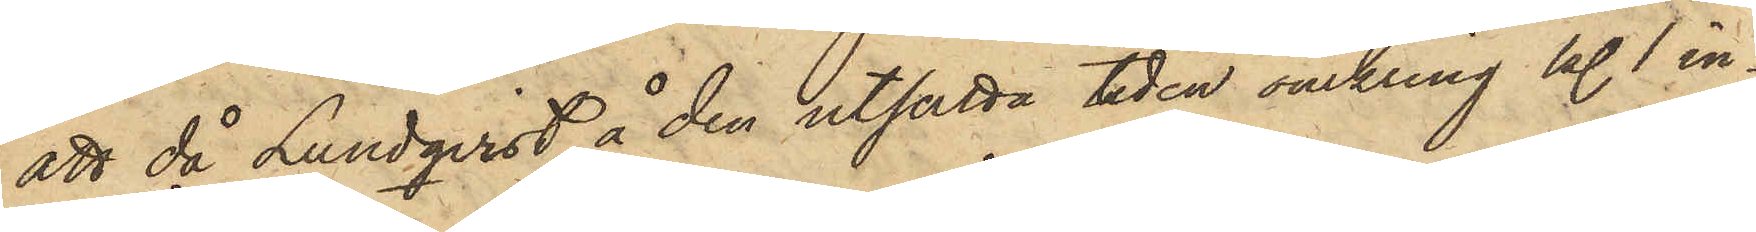att då Lundqvist å den utsätta tiden omkring kl. 1 in¬
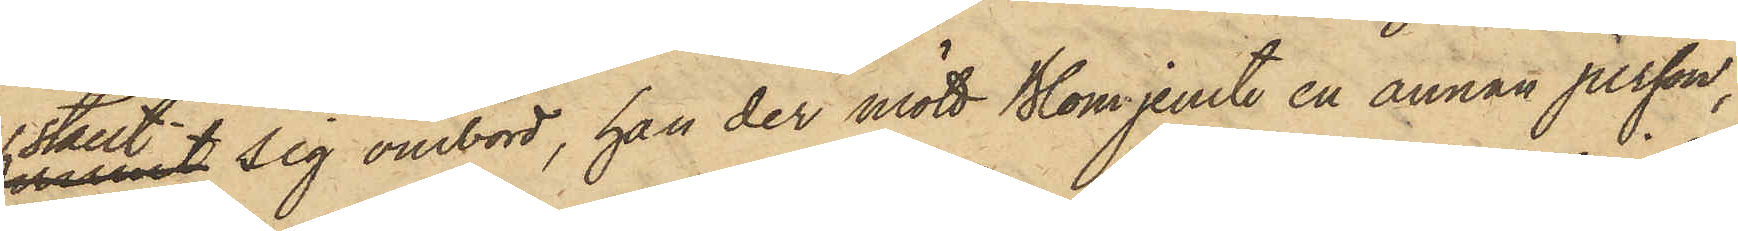ställt sig ombord, han der mött Blom jemte en annan person,
